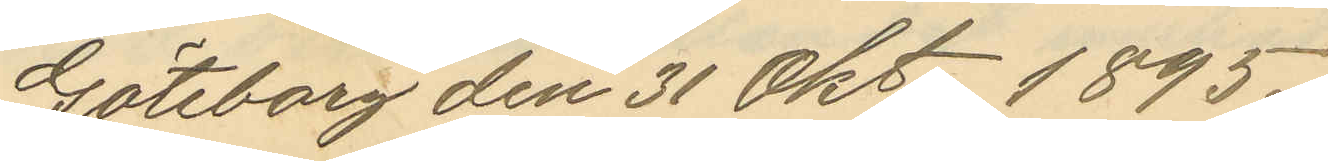Göteborg den 31 Okt. 1895.
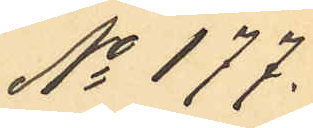No 177.
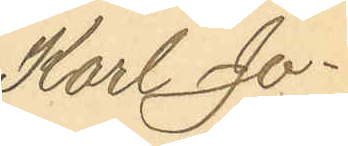Karl Jo¬
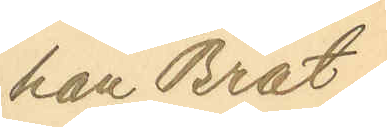han Brat¬
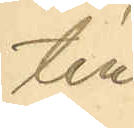tén
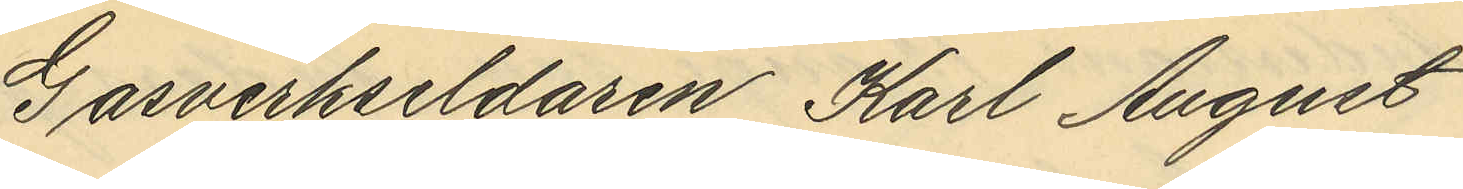Gasverkseldaren Karl August
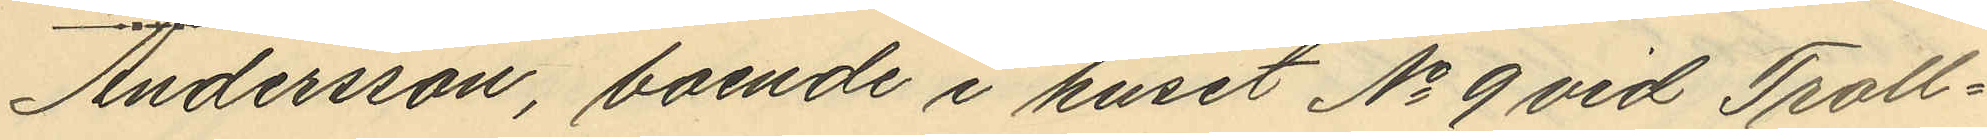Andersson, boende i huset No 9 vid Troll¬
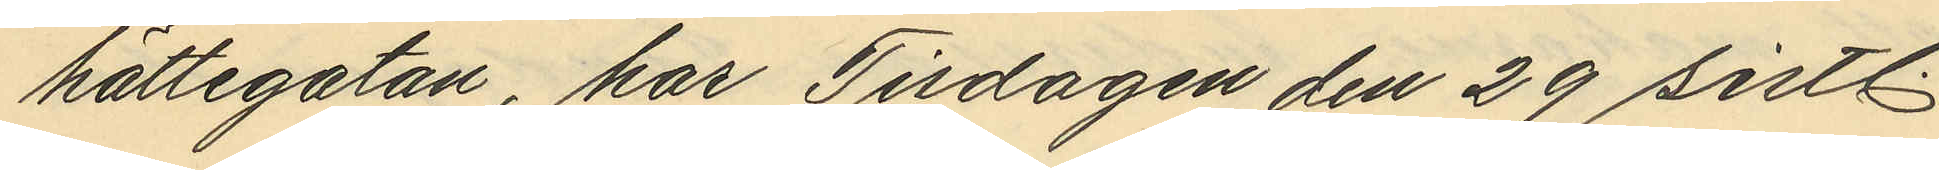hättegatan, har Tisdagen den 29 sistl.
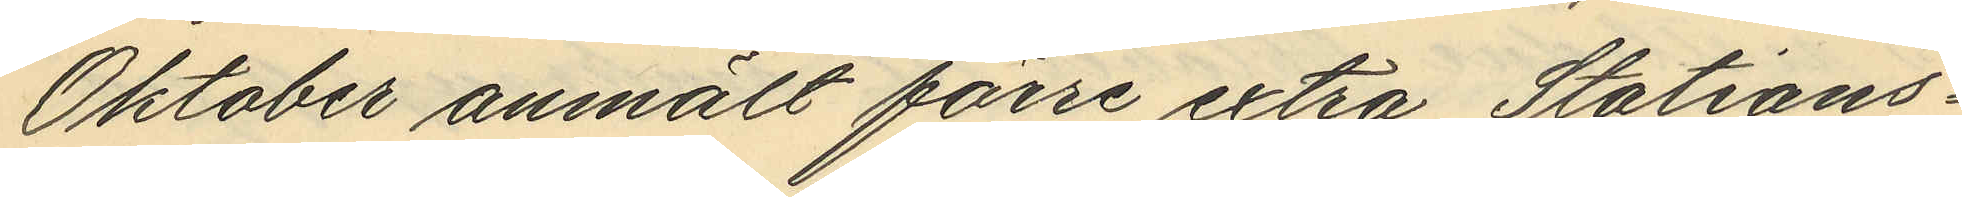Oktober anmält förre extra Stations¬
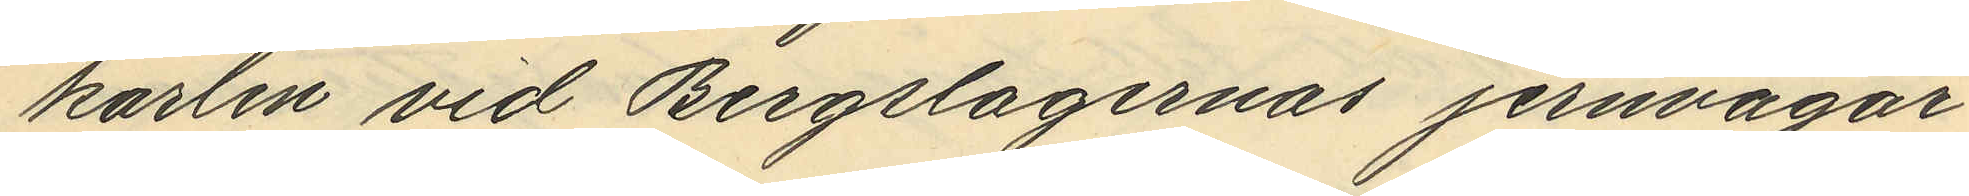karlen vid Bergslagernas jernvägar
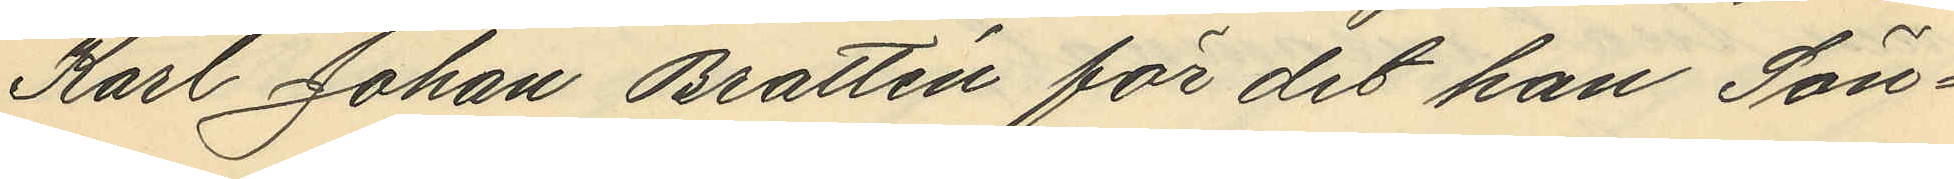Karl Johan Brattén för det han Sön¬
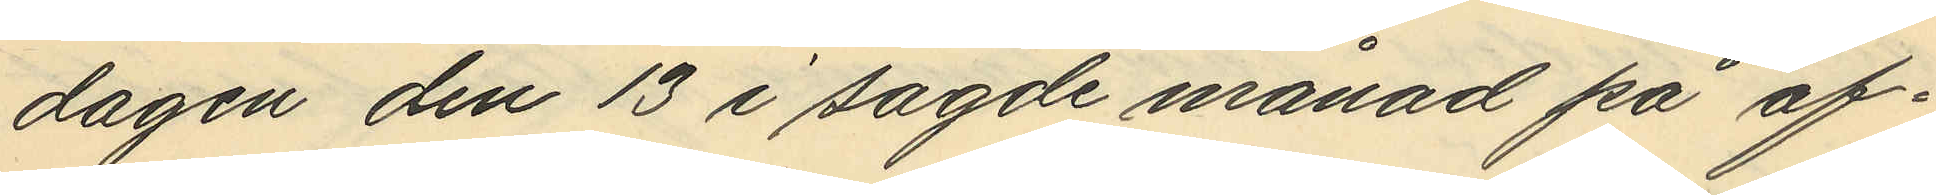dagen den 13 i sagde månad på af¬
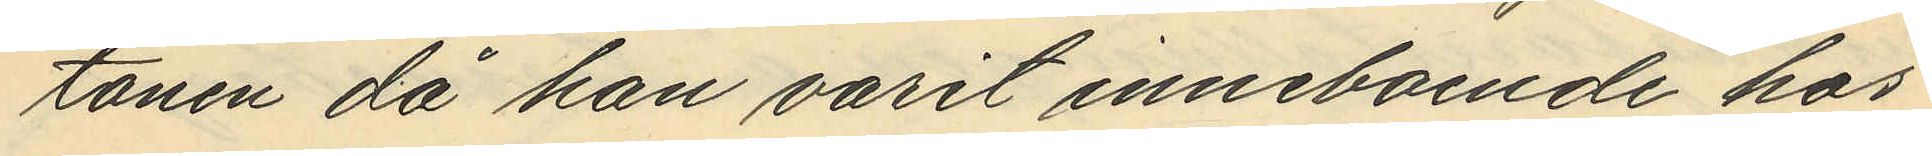tonen då han varit inneboende hos
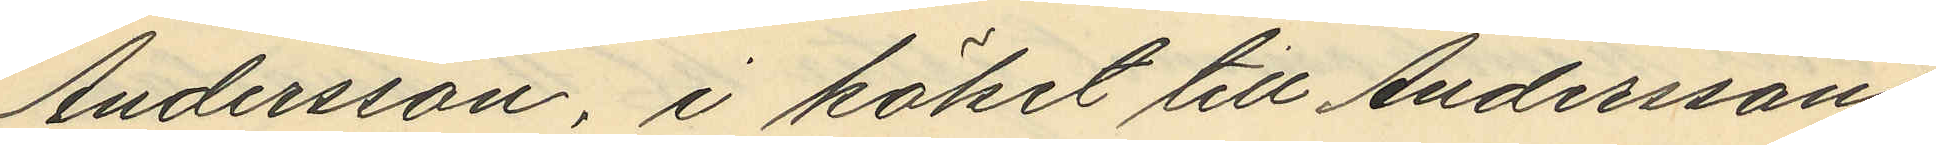Andersson, i köket till Anderssons
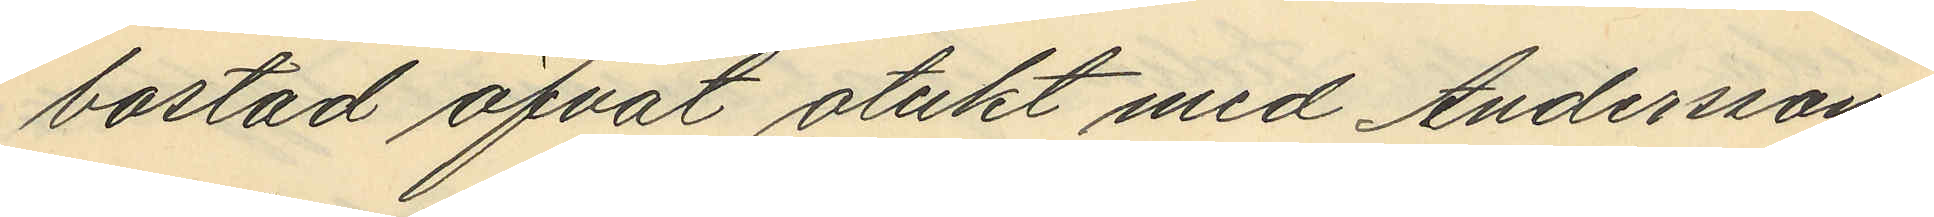bostad öfvat otukt med Anderssons
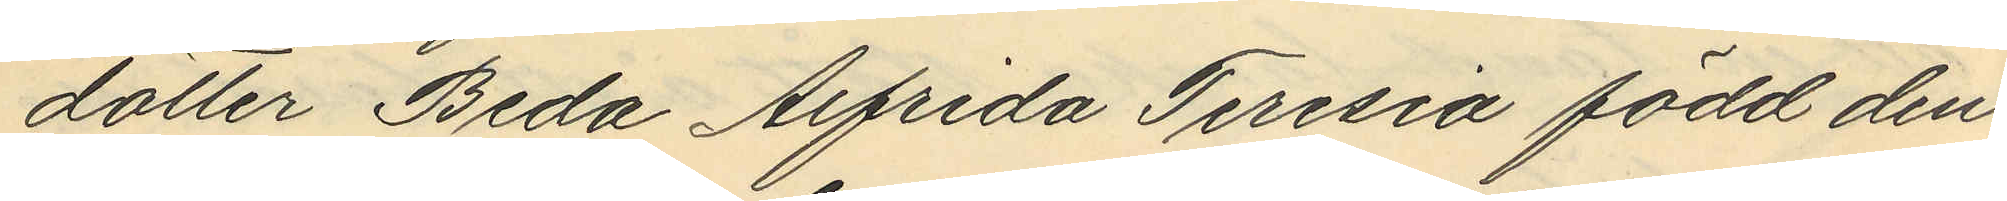dotter Beda Alfrida Teresia född den
